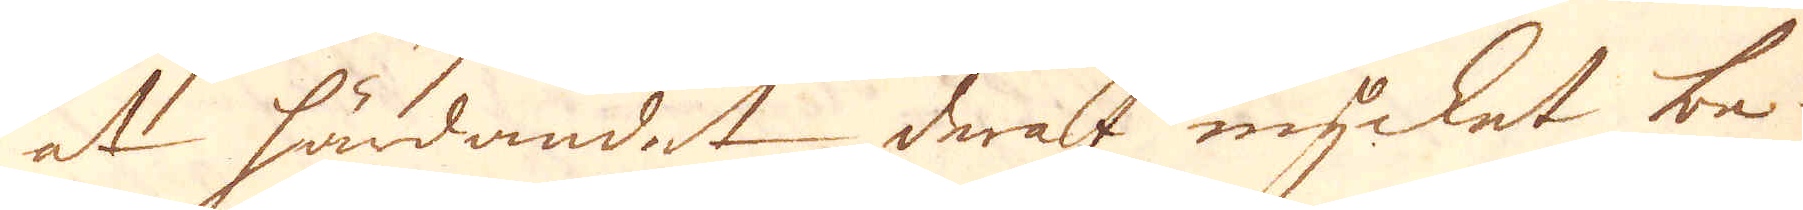at härdandet deraf mycket be-
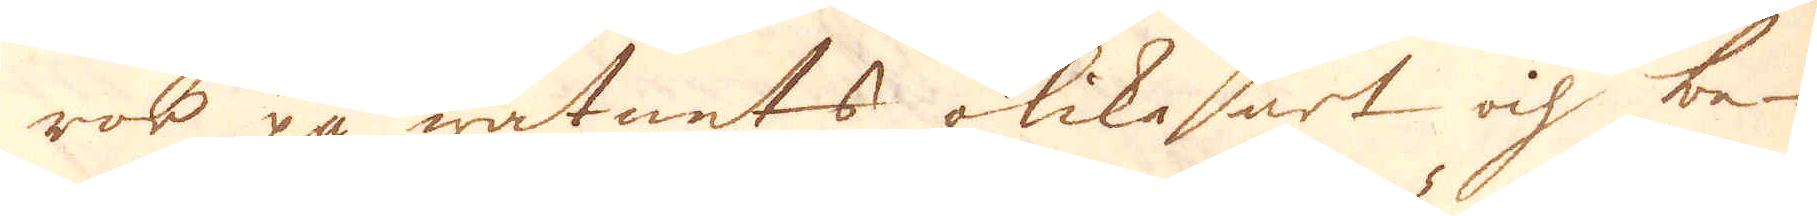ror på watnets olika art och be-
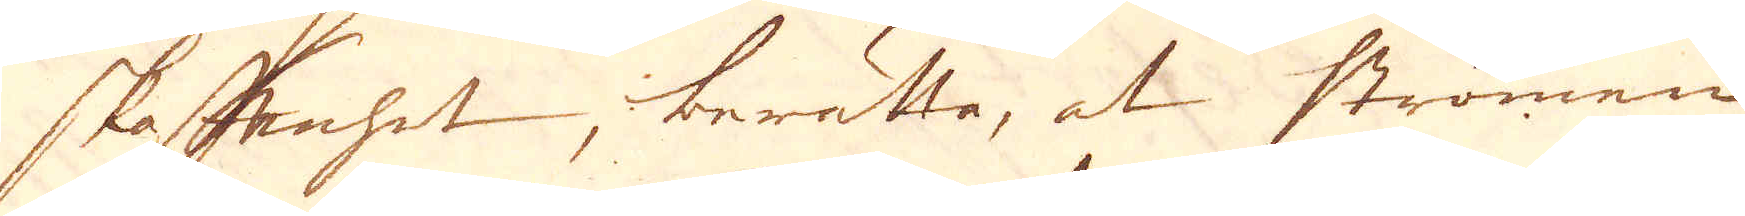skaffenhet, berätta, at strömen
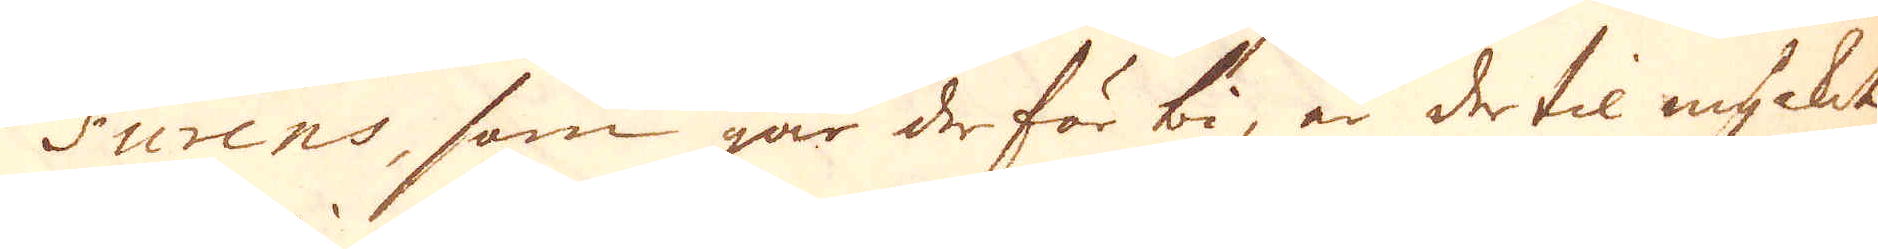Furens, som går der förbi, är dertil mycket
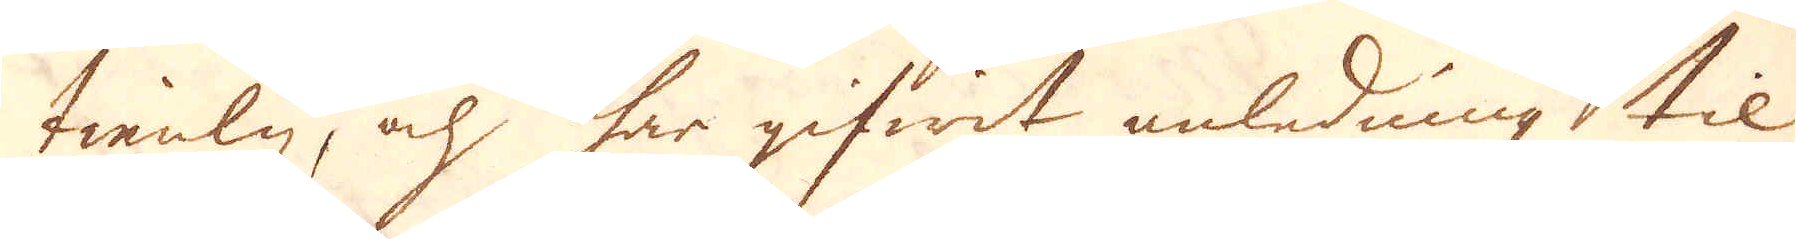tienlig, och har gifwit anledning til
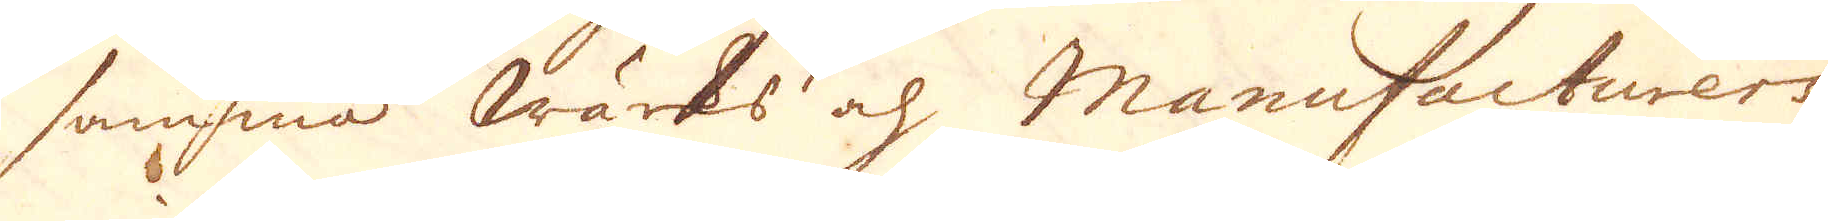samma wärks och Manufacturers
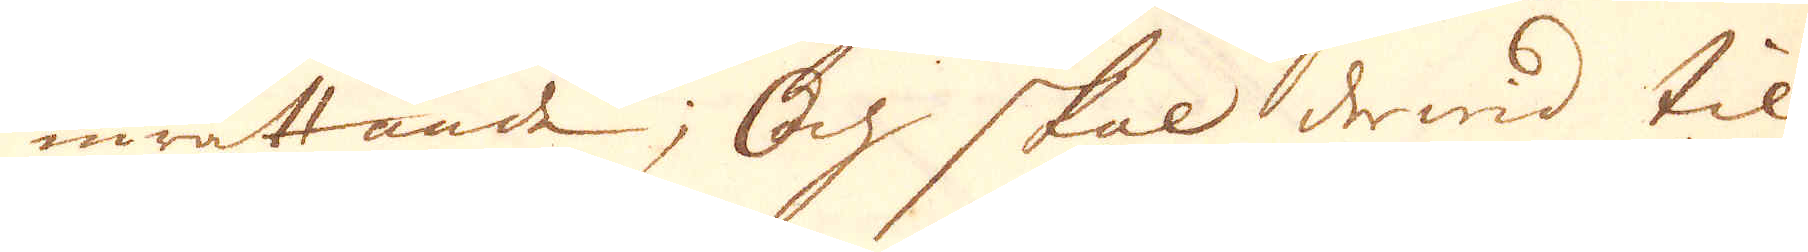inrättande; Och skal dewid til
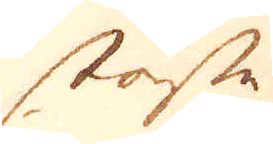störste
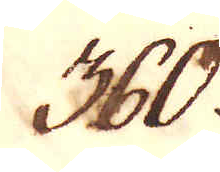360.
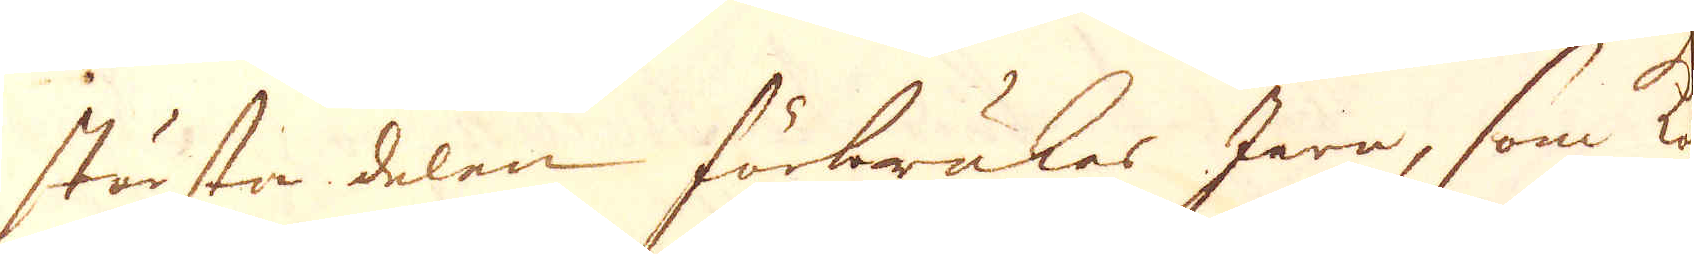största delen förbrukes Jera, som ko-
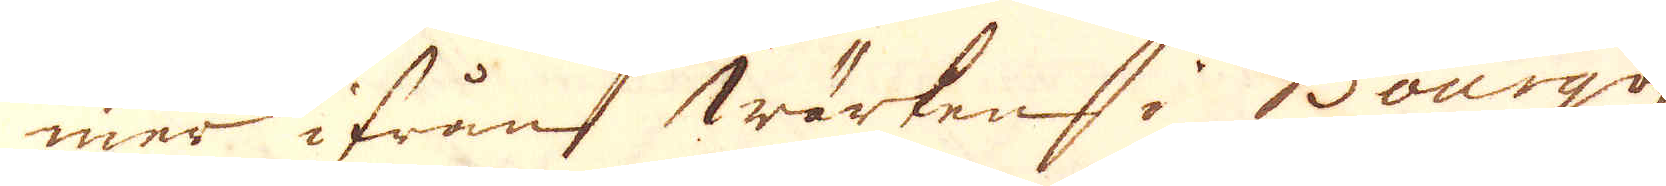mer ifrån wärken i Bourgogne.
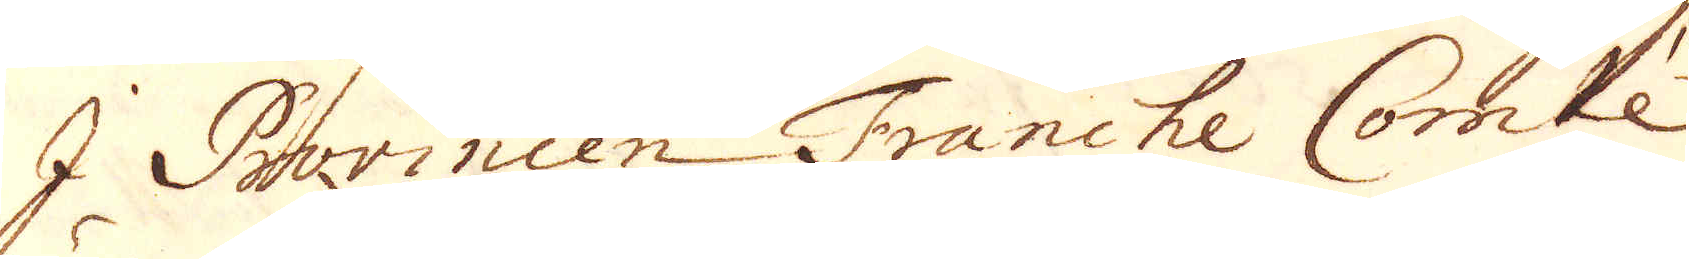I Provincen Franche Comtée
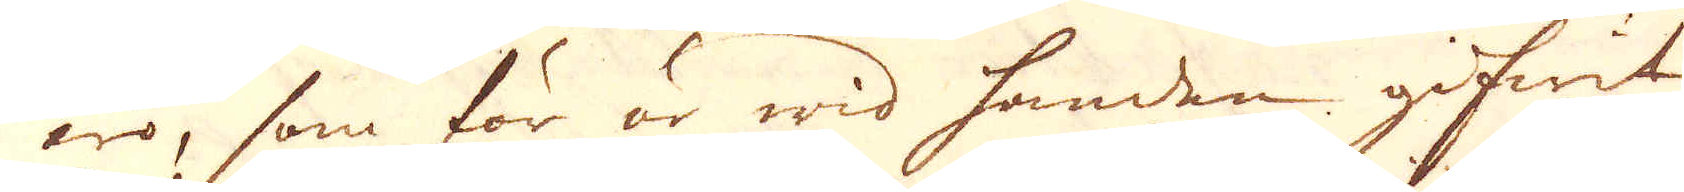äro, som för är wid handen gifwit,
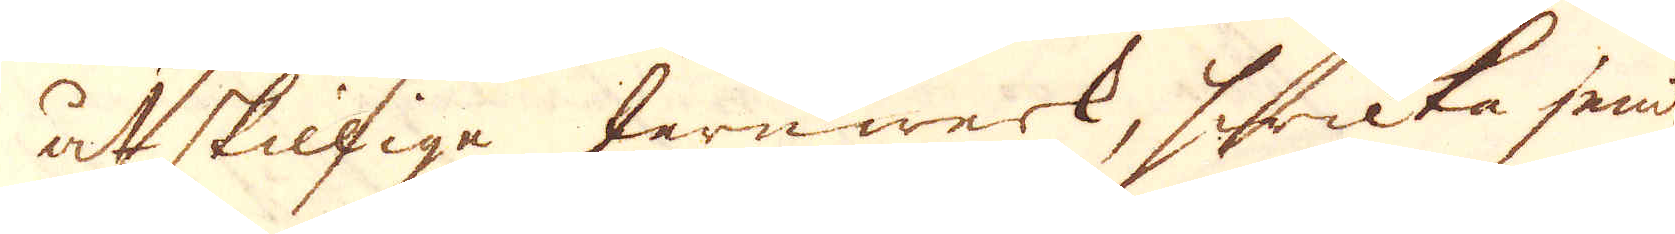åtskilliga Jernwerk, hwilka jemte
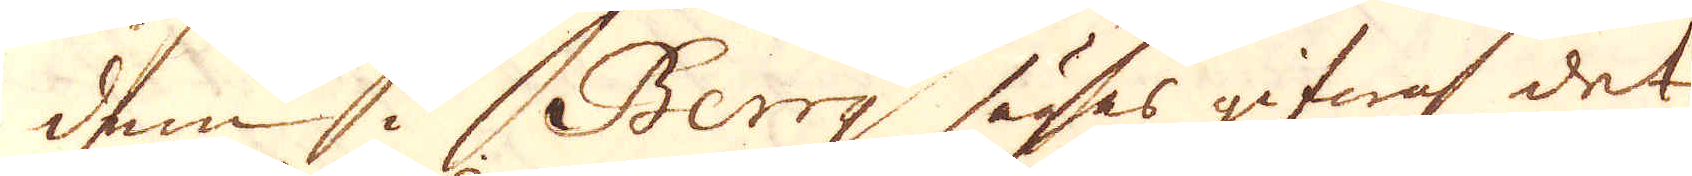dem i Berrg sägas gifwa det
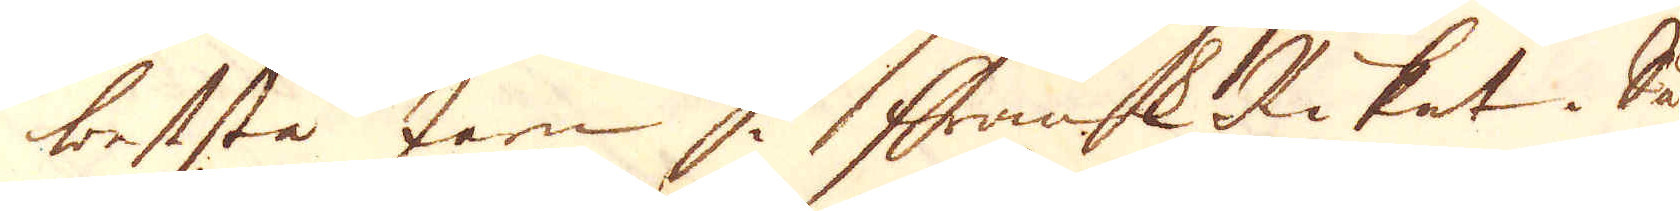bestste Jern i FrankRiket. Så
